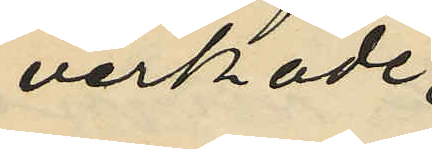verkade
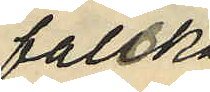falska
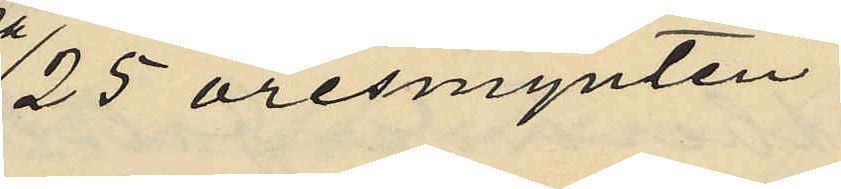25 öresmynten
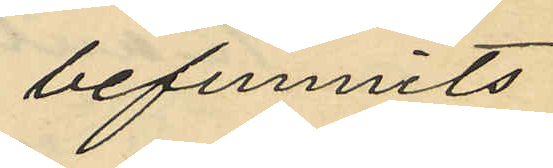befunnits
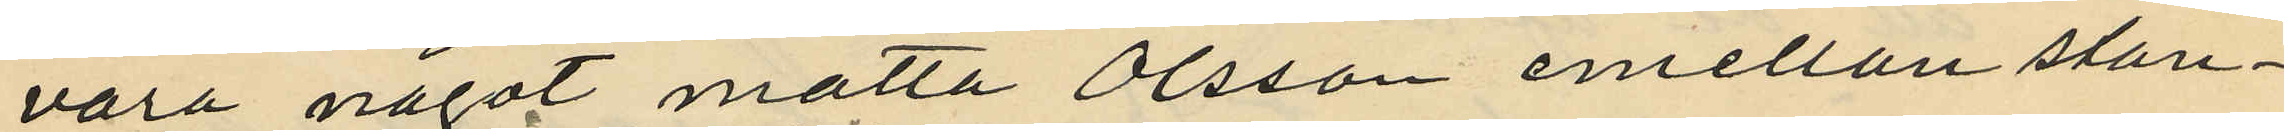vara något matta Olsson emellan stan¬
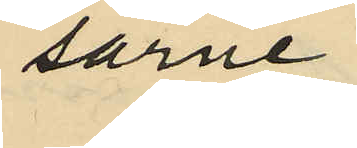sarne
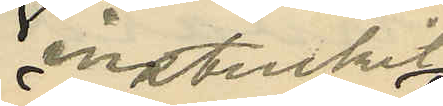instuckit
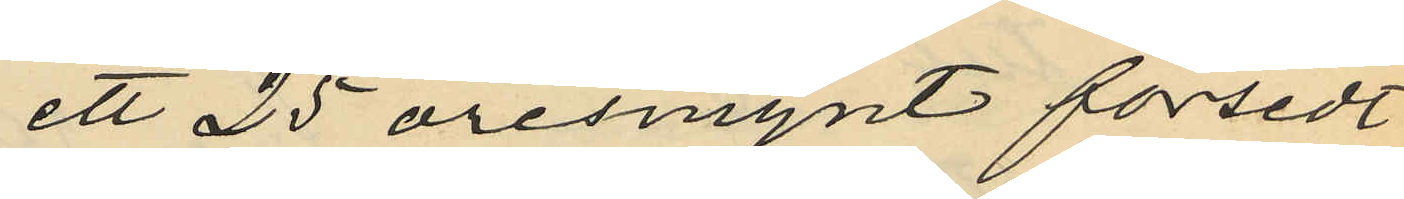ett 25 öresmynt försedt
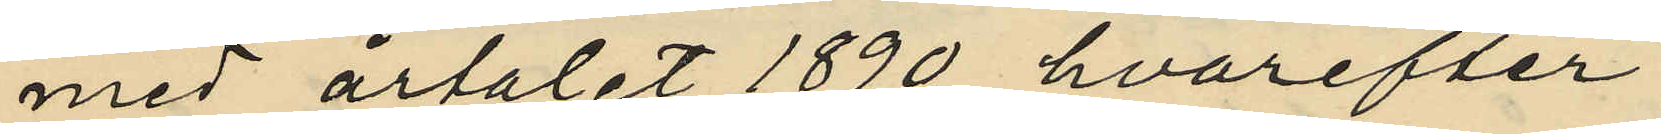med årtalet 1890, hvarefter
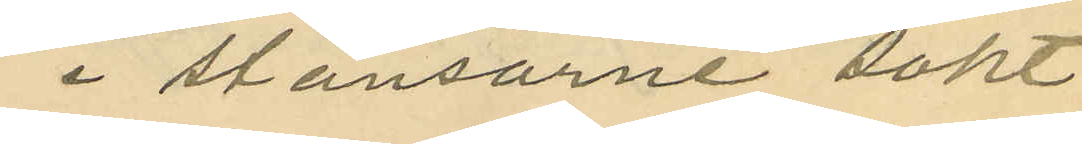i stansarne sökt
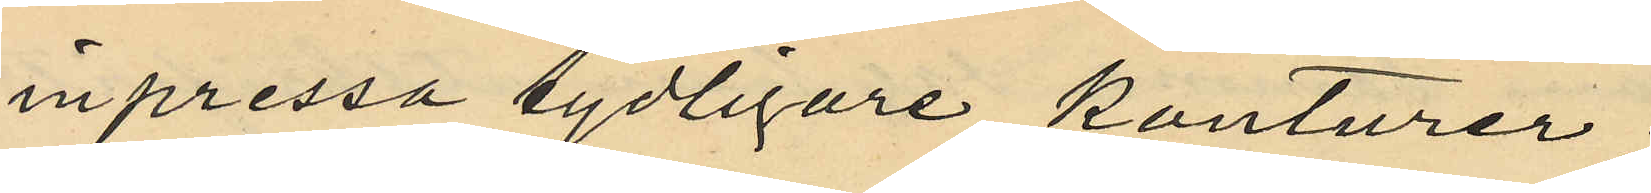inpressa tydligare konturer;
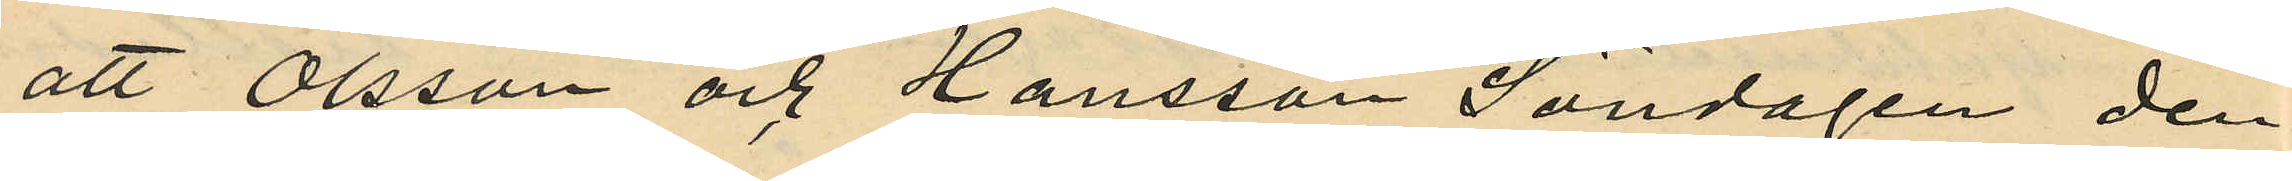att Olsson och Hansson Söndagen den
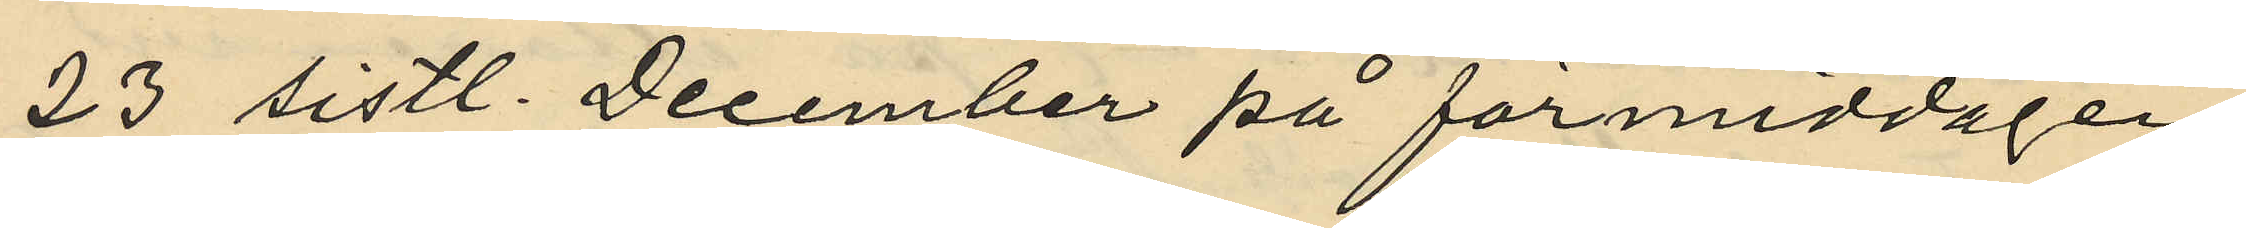23 sistl. December på förmiddagen
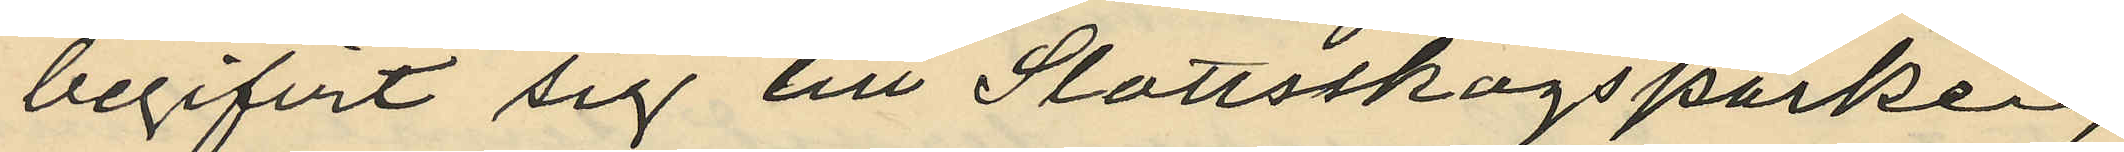begifvit sig till Slottsskogsparken,
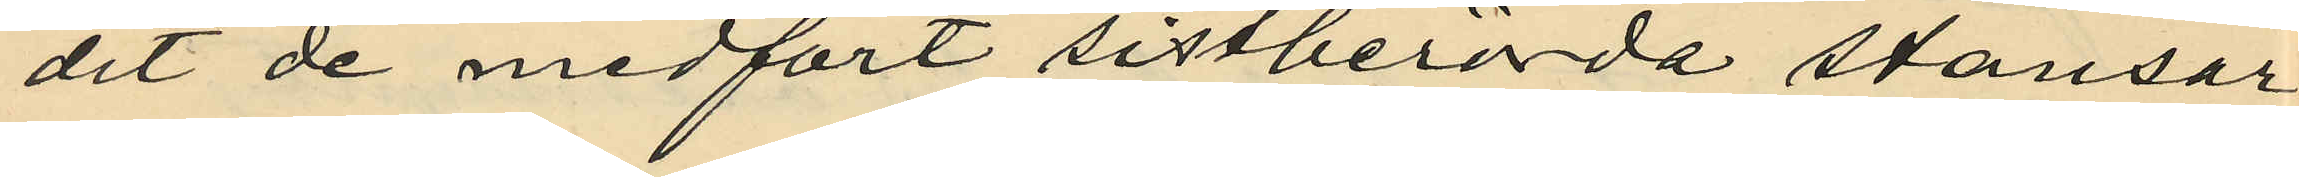dit de medfört sistberörda stansar,
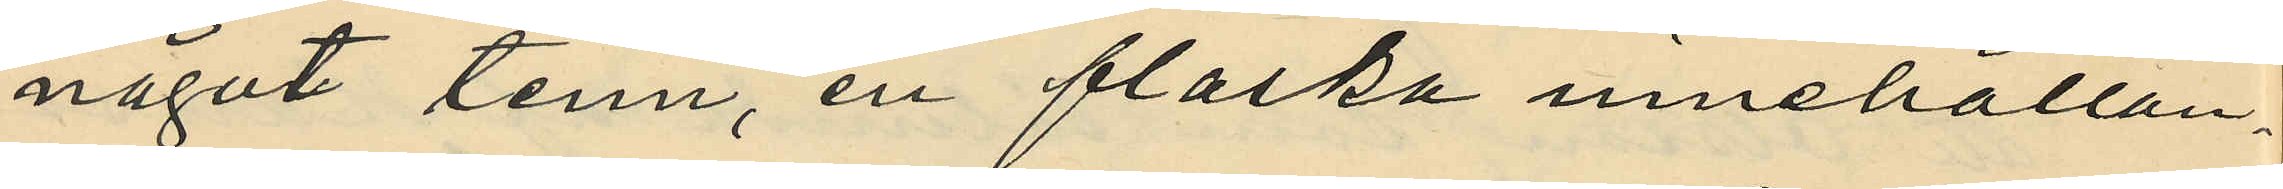något tenn, en flaska innehållan¬
